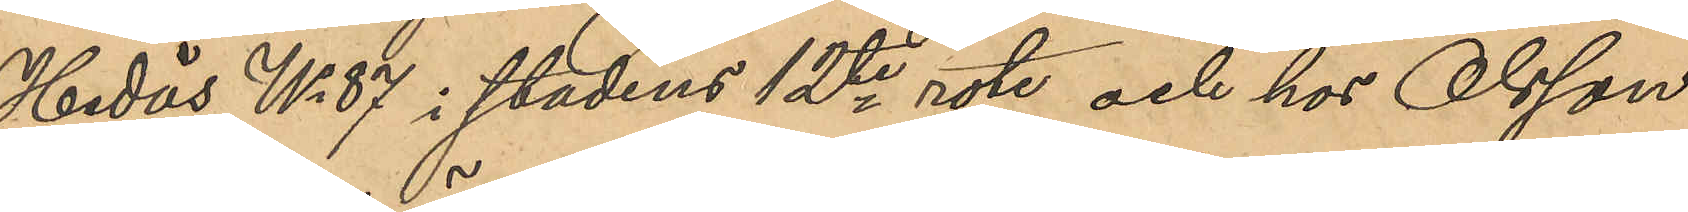Hedås No 87 i stadens 12te rote och hos Olsson
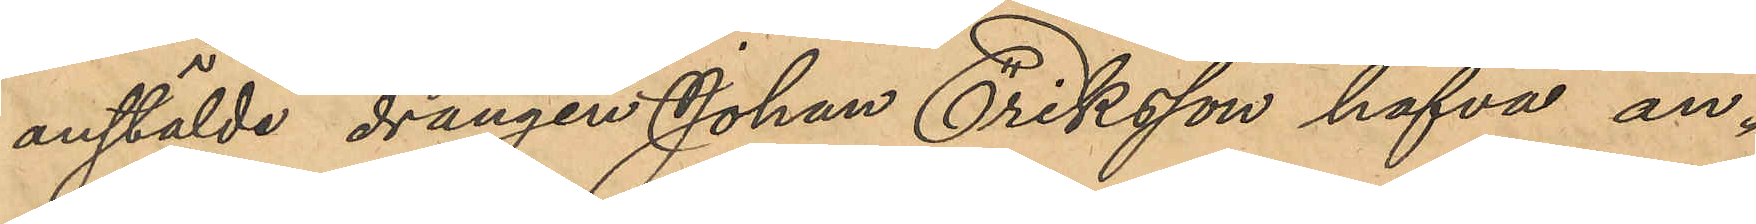anstälde drängen Johan Eriksson hafva an¬
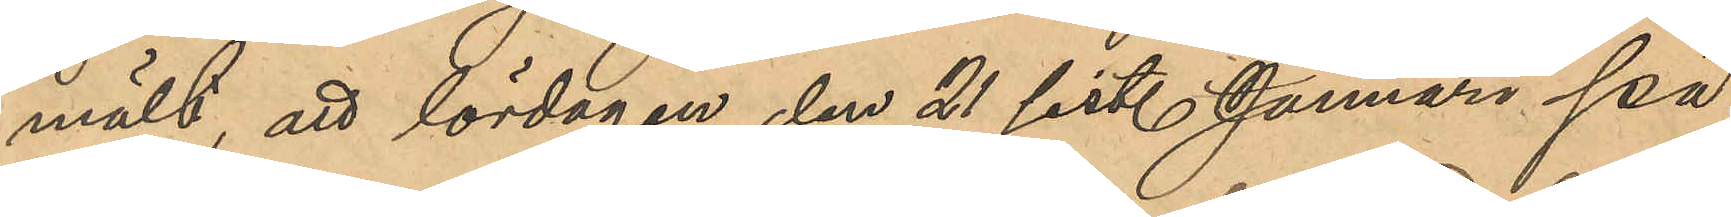mält, att lördagen den 21 sist. Januari på
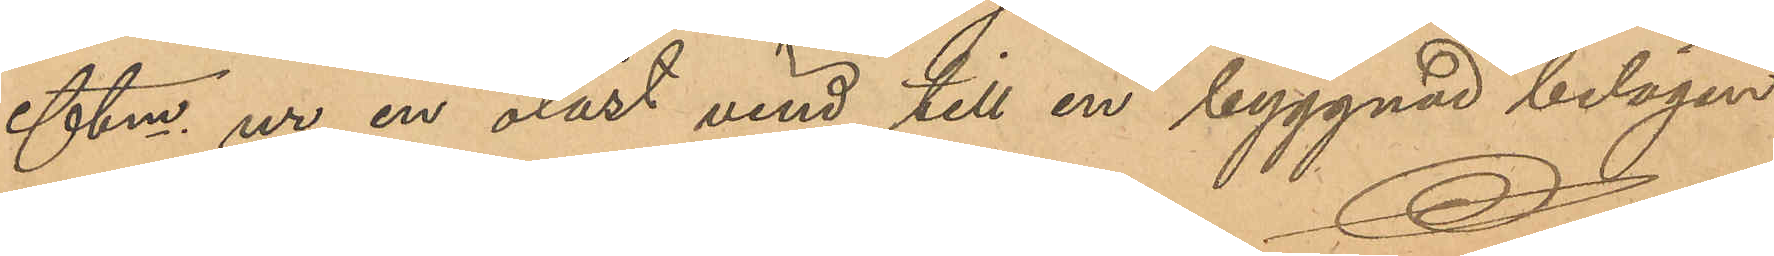eftm ur en olåst vind till en byggnad belägen
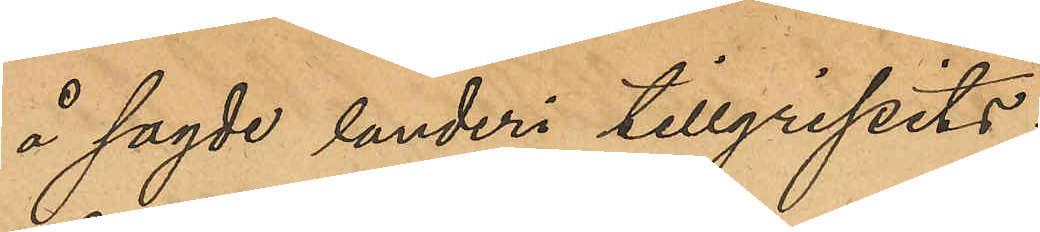i sagde landeri tillgripits:
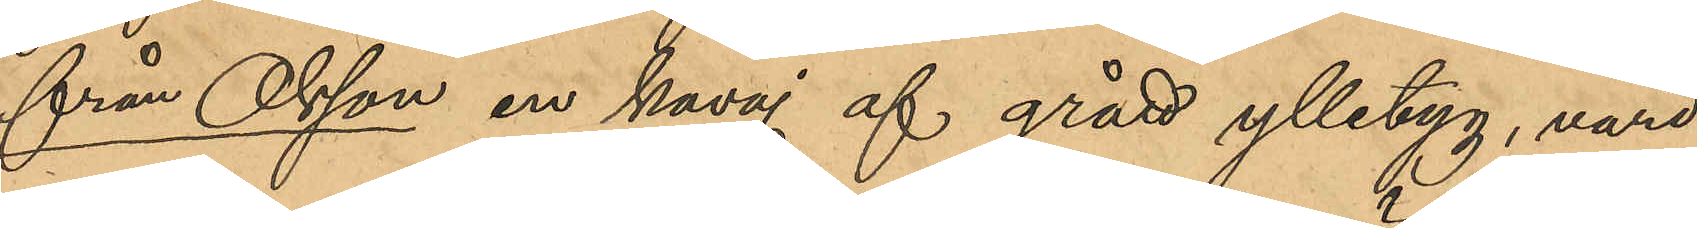från Olsson en kavaj af grått ylletyg, värd
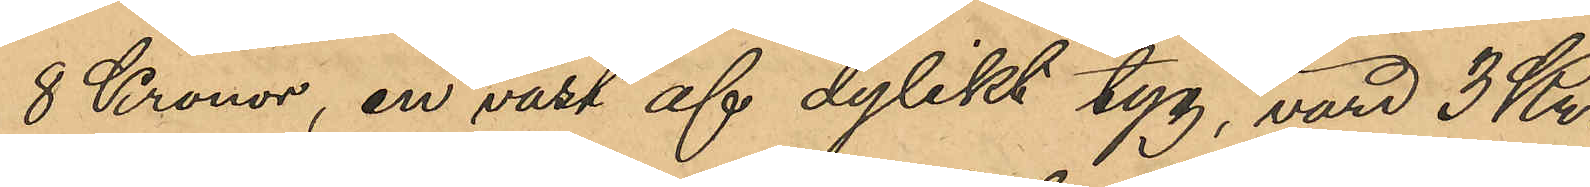8 Kronor, en väst af dylikt tyg, värd 3 Kr.
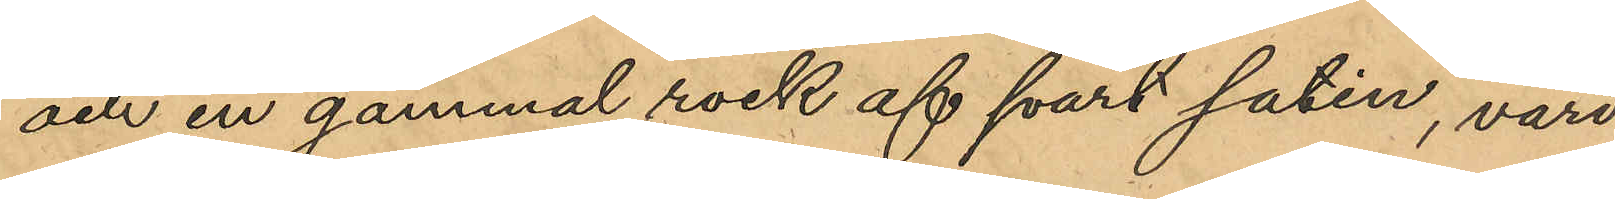och en gammal rock af svart satin, värd
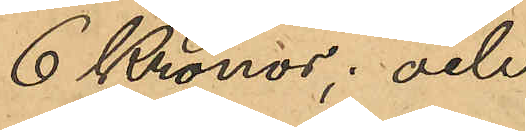6 Kronor; och
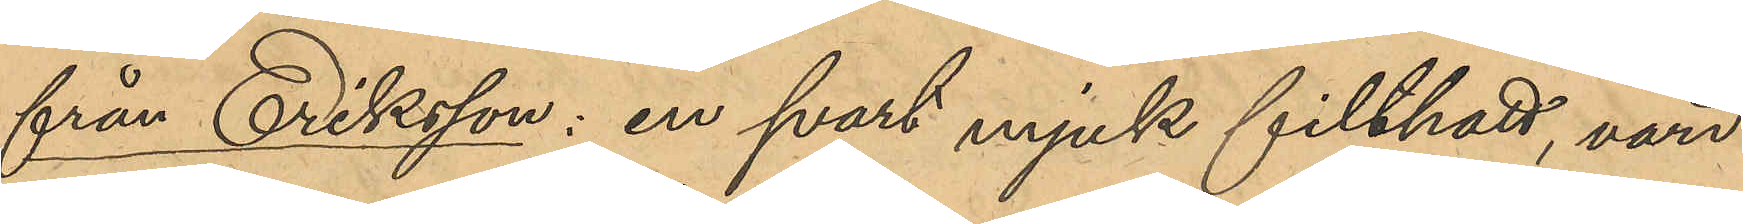från Eriksson: en svart mjuk filthatt, värd
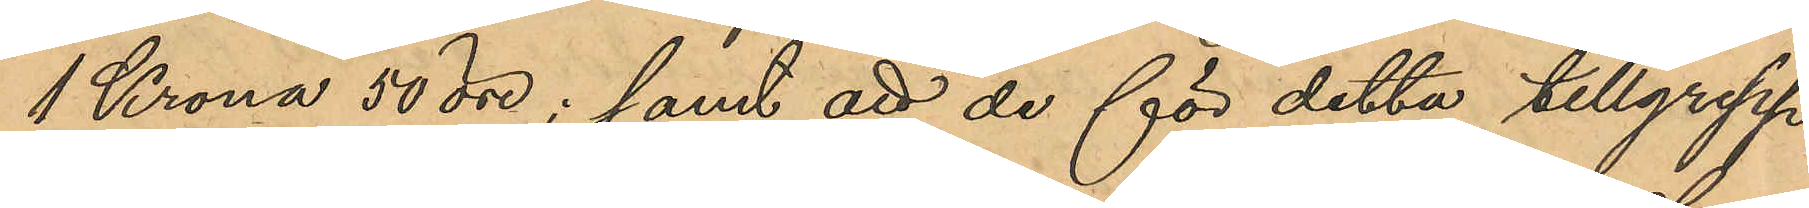                                                                                                                                                            1 Krona 50 öre; samt att de för detta tillgrepp                                                                                                                                                                        
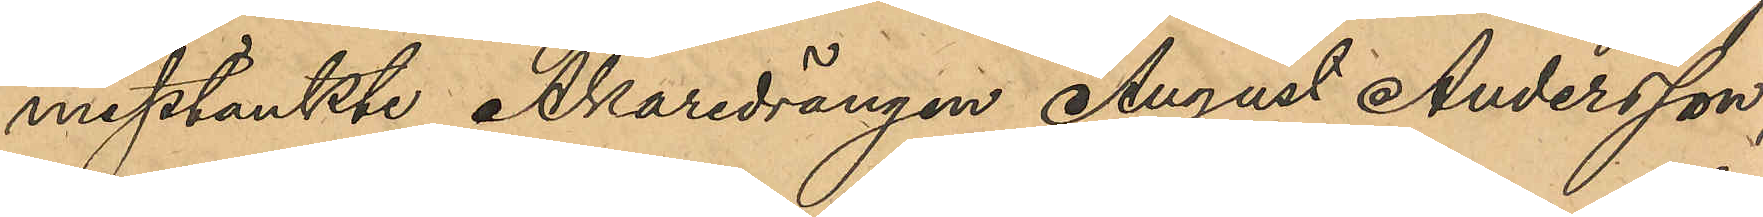misstänkte Åkaredrängen August Andersson,
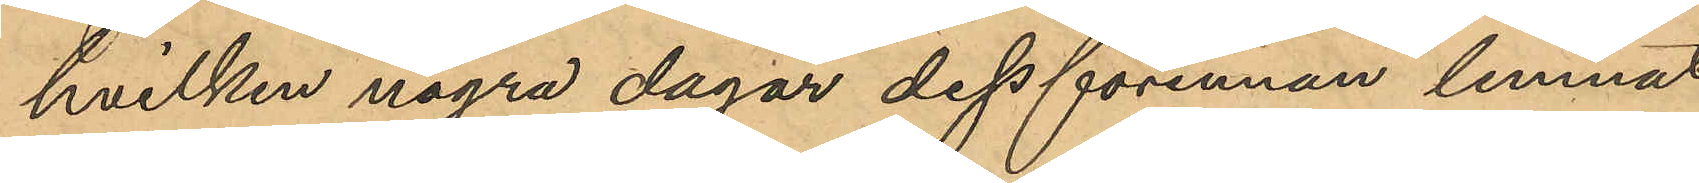hvilken några dagar dessförinnan lemnat
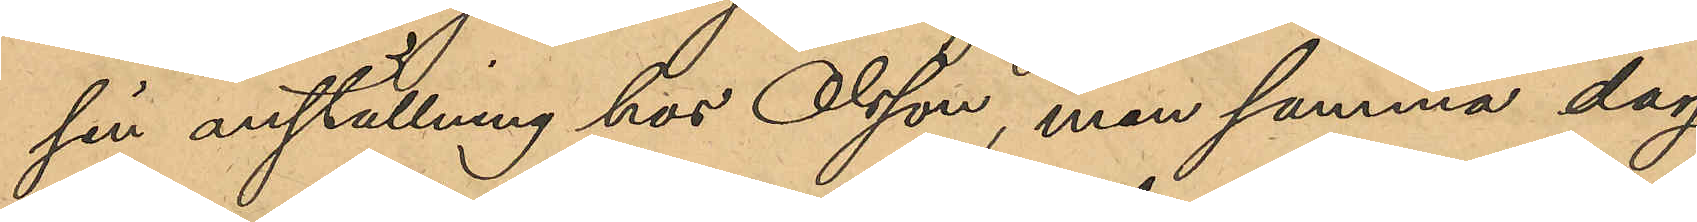sin anställning hos Olsson, men samma dag
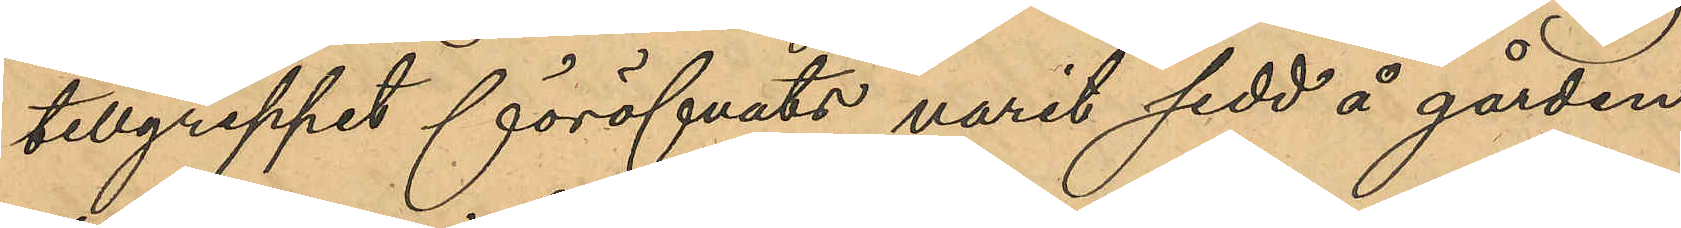tillgreppet föröfvats varit sedd å gården
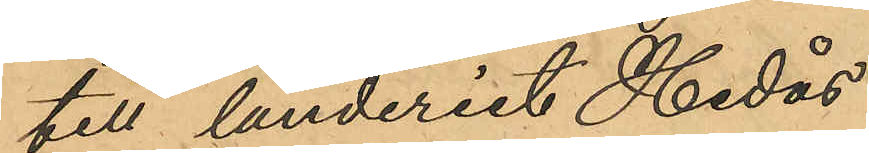till landeriet Hedås.
